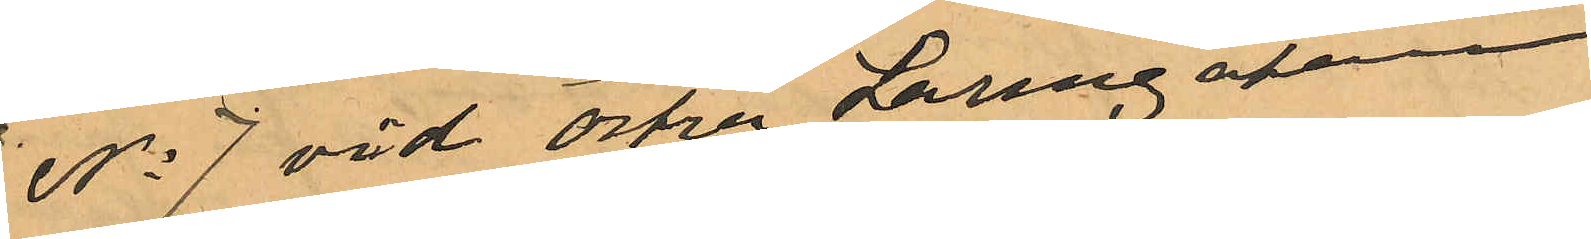No 7 vid Östa Larmgatan
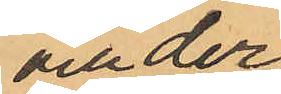och der
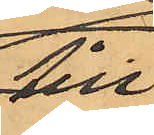till¬
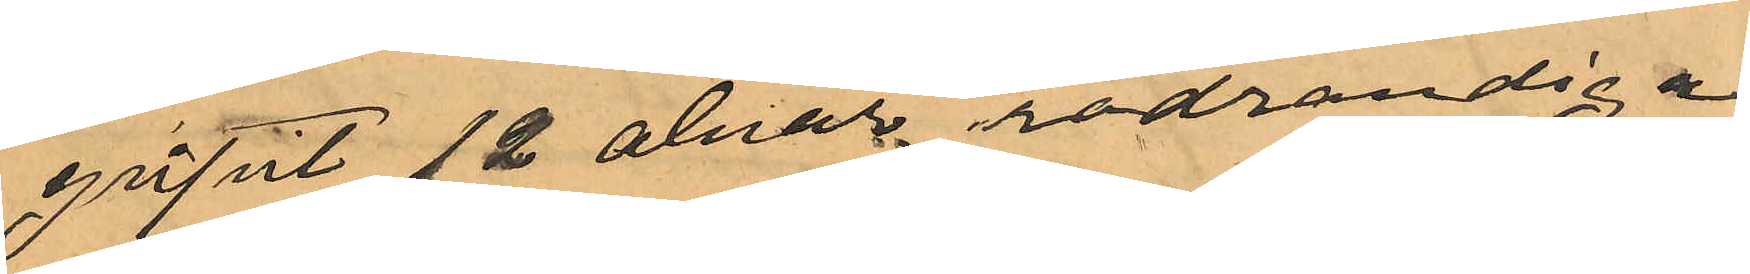gripit12 alnar rödrandiga
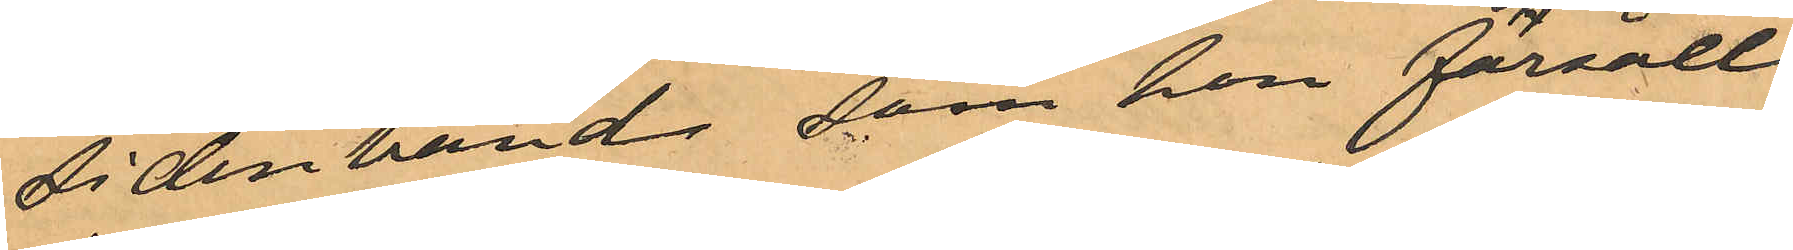sidenband som hon försålt
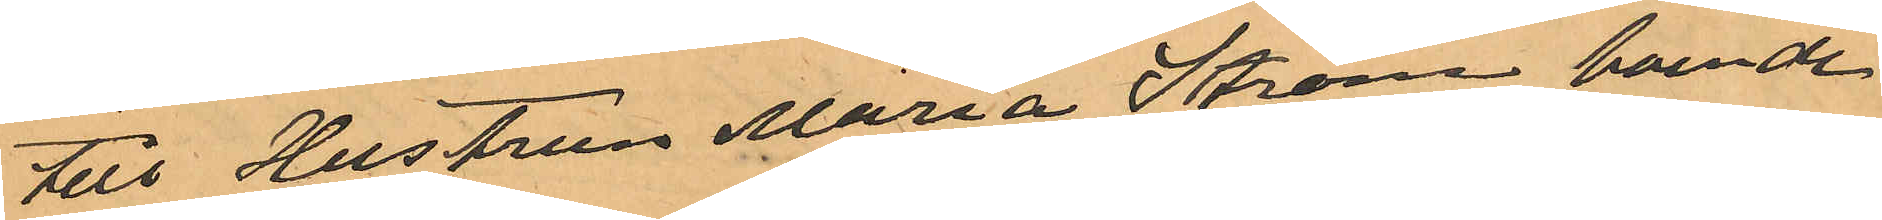till Hustrun Maria Ström boende
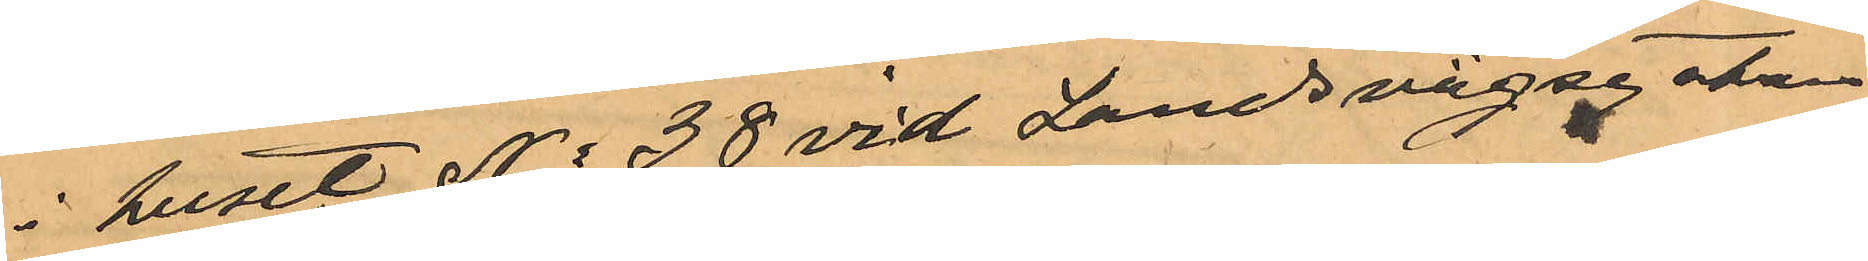i huset No 38 vid Landsvägsgatan
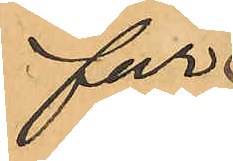för
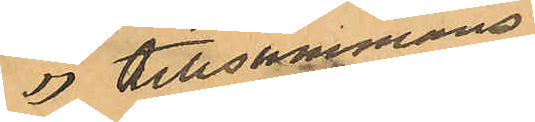 tillsammans
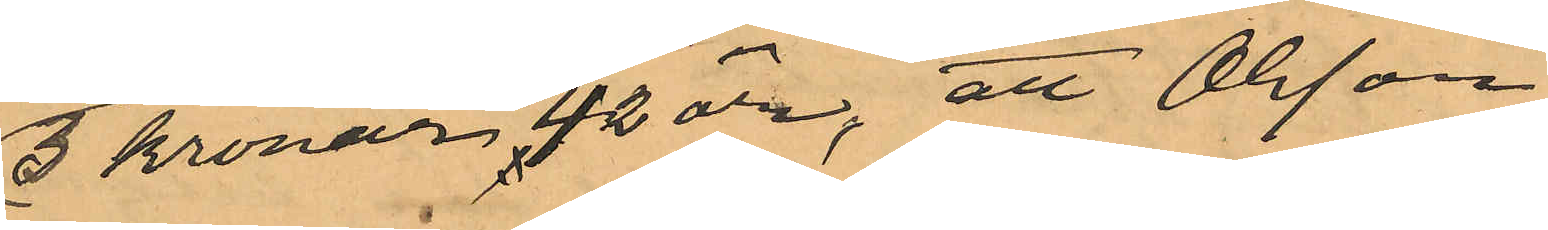3 kronor 42 öre; att Olsson
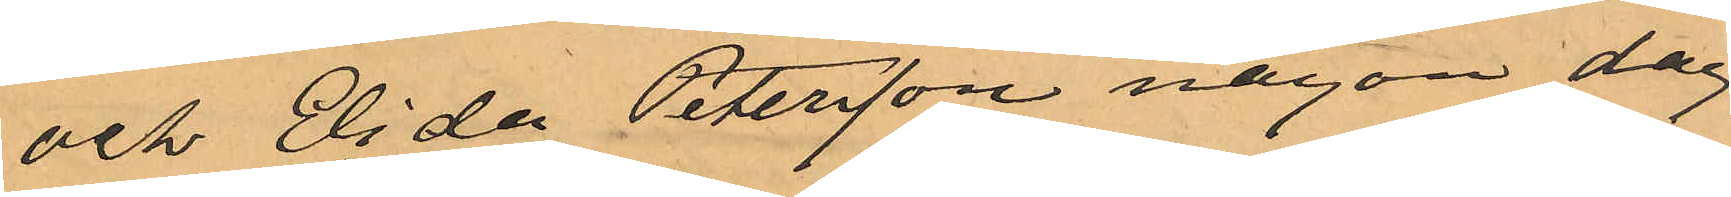och Elida Petersson någon dag
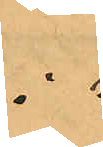i
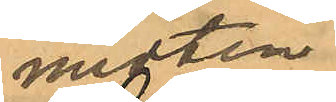mitten
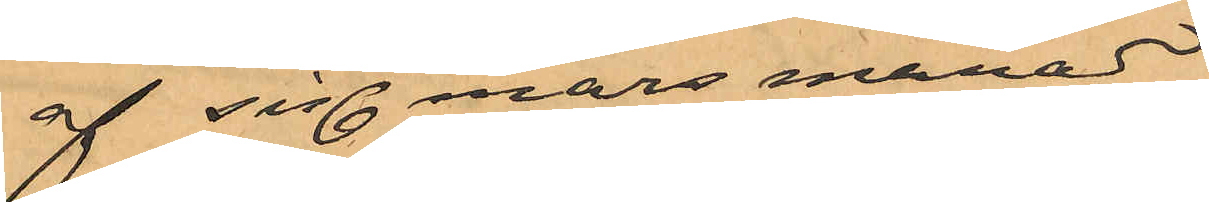af sist. mars månad
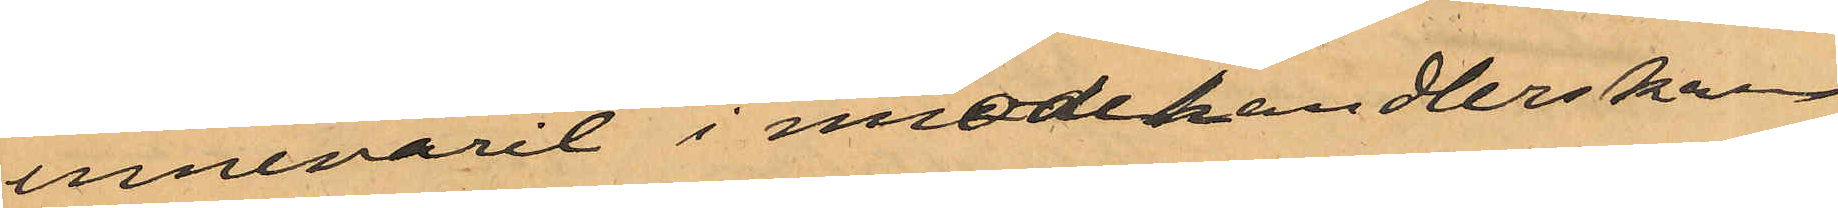innevarit i modehandlerskan
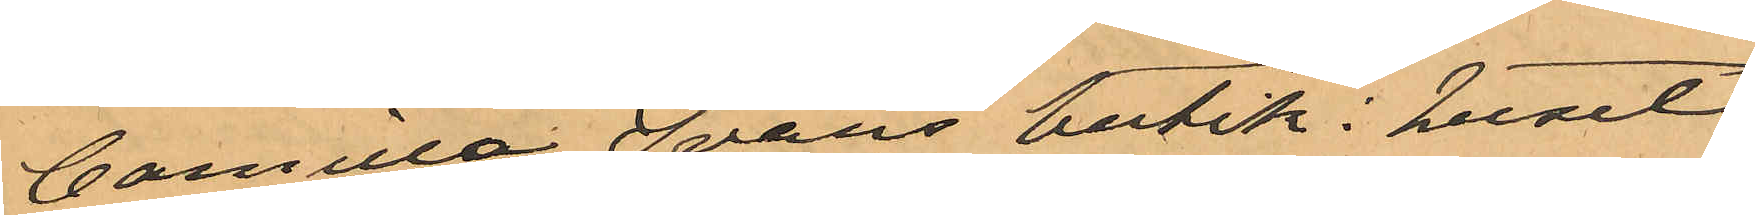Cornelia Svans butik i huset
